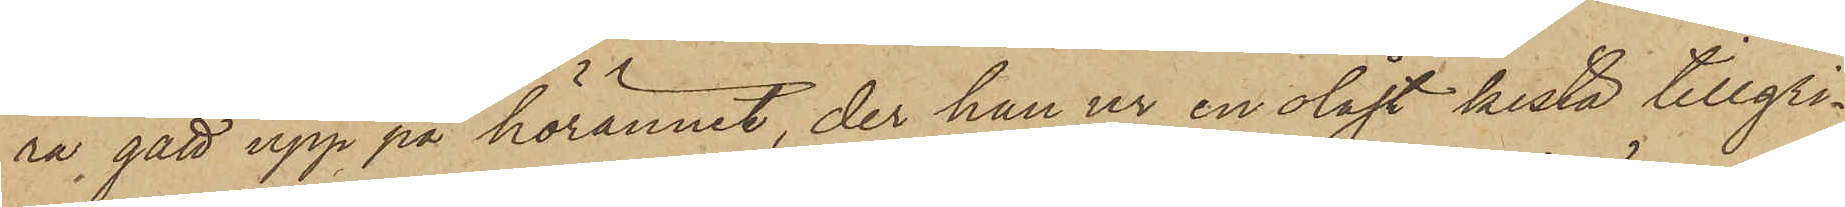ra gått upp på hörännet, der han ur en olåst kista tillgri¬
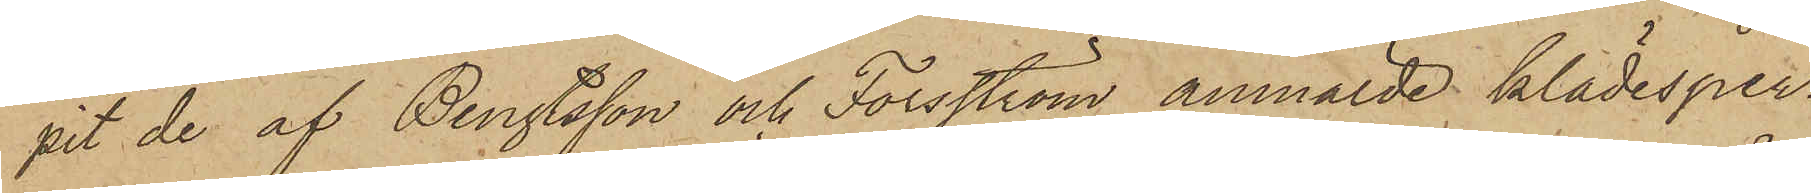pit de af Bengtsson och Forsström anmälde klädesper¬
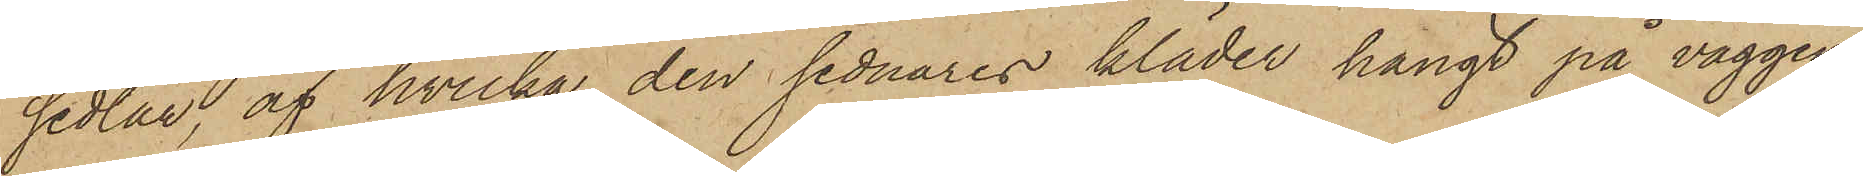sedlar, af hvilka den sednares kläder hängt på väggen
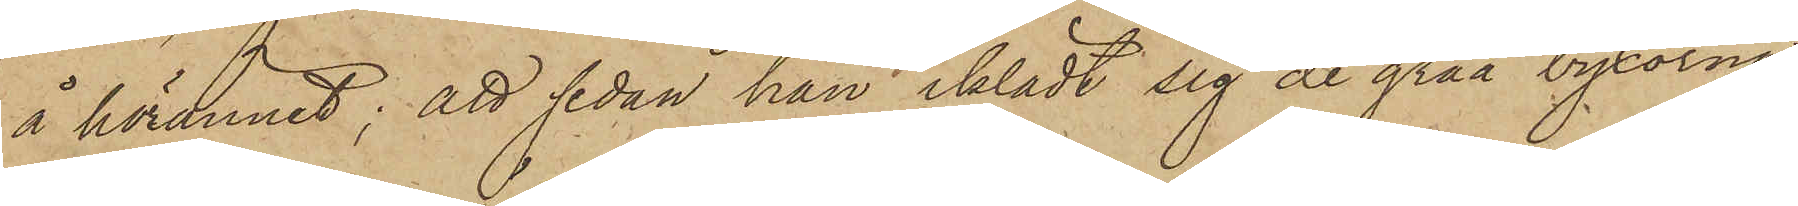å hörännet; att sedan han iklädt sig de gråa byxorna
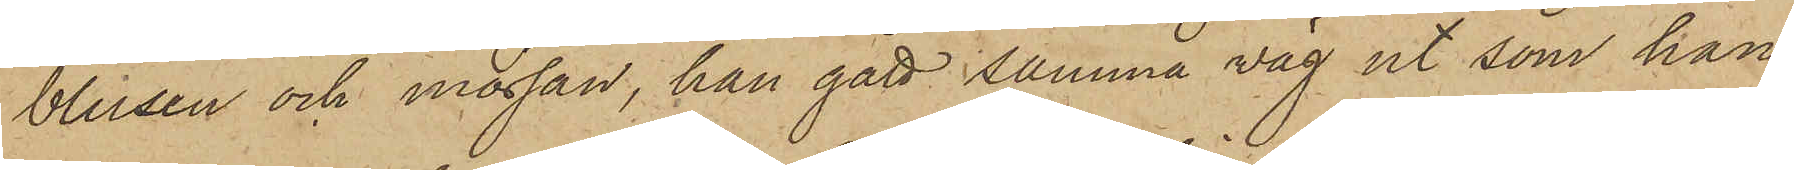blusen och mössan, han gått samma väg ut som han
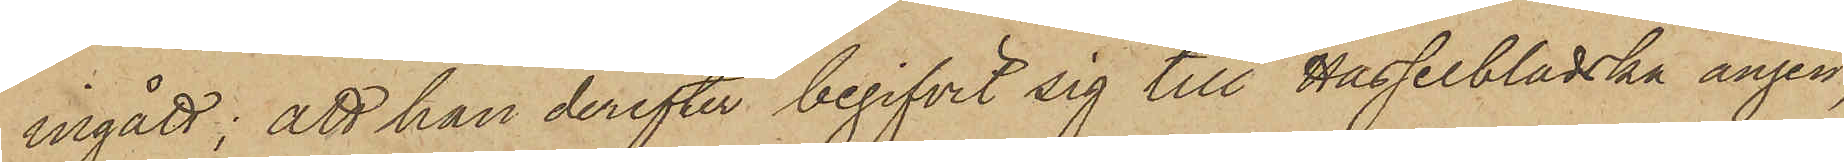ingått; att han derefter begifvit sig till Hasselbladska ängen,
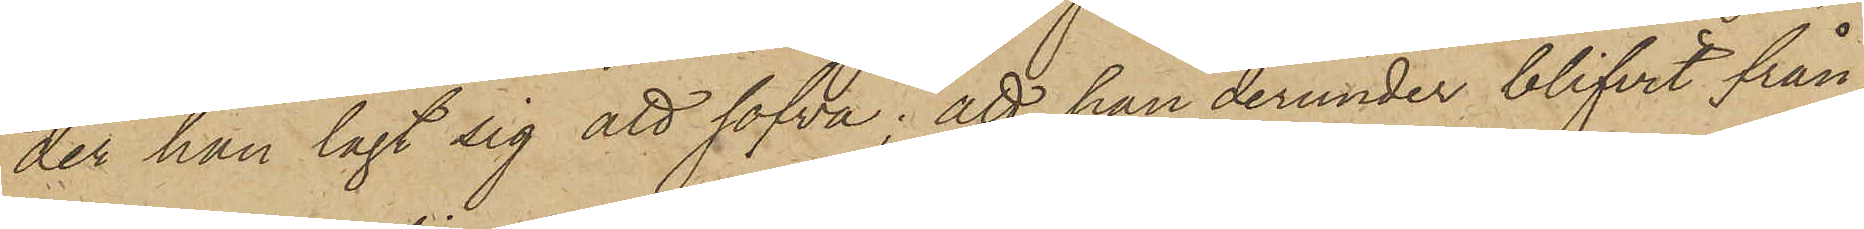der han lagt sig att sofva; att han derunder blifvit från¬
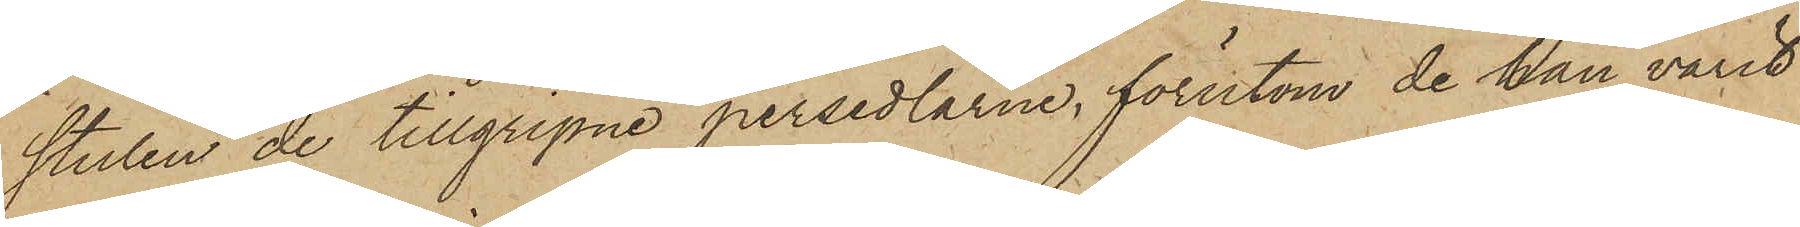stulen de tillgripne persedlarne, förutom de han varit
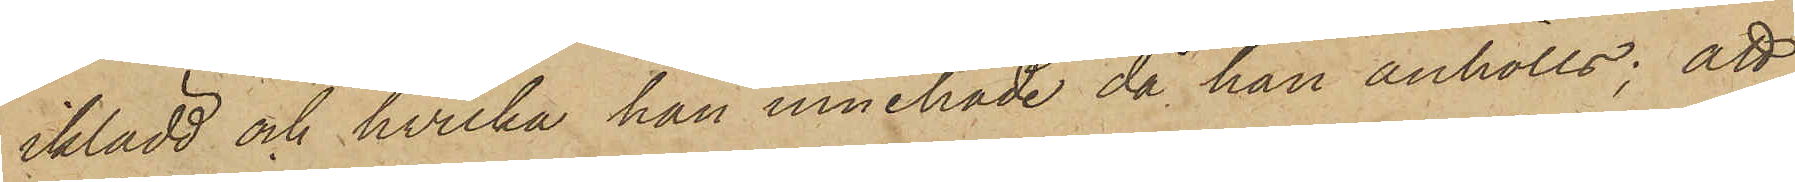iklädd och hvilka han innehade då han anhölls; att
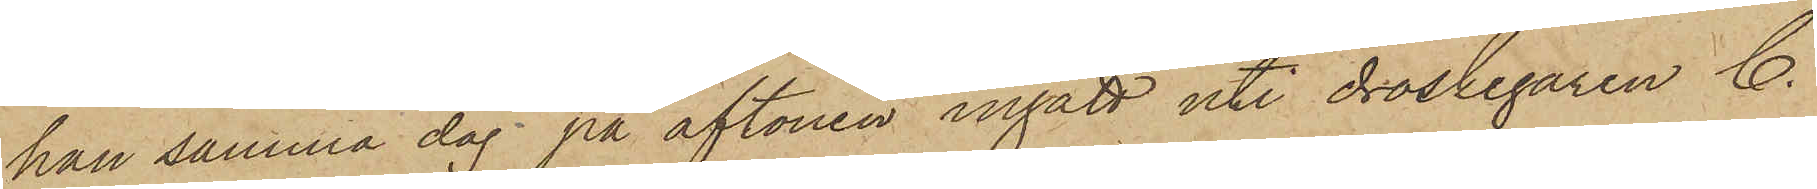han samma dag på aftonen ingått uti droskegaren C.
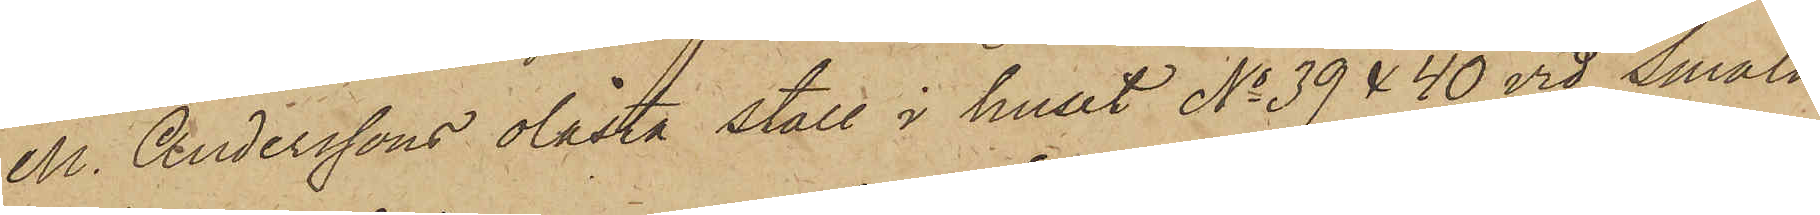M. Anderssons olåsta stall i huset No 39 & 40 vid Smala
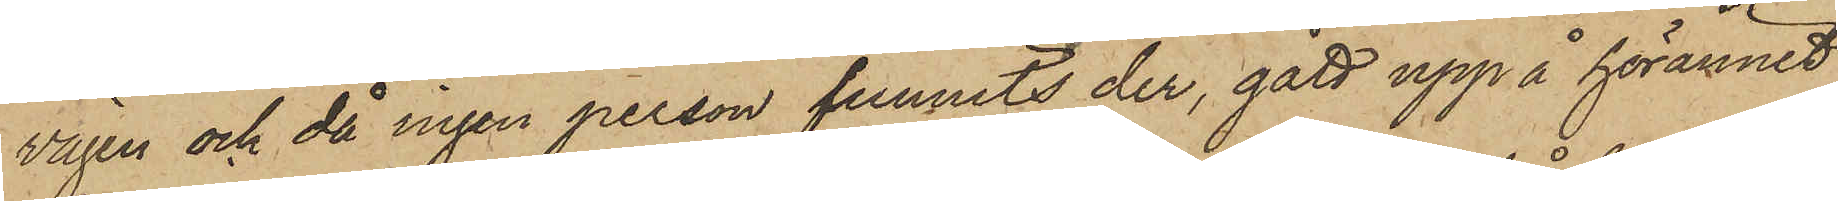vägen och då ingen person funnits der, gått upp å hörännet,
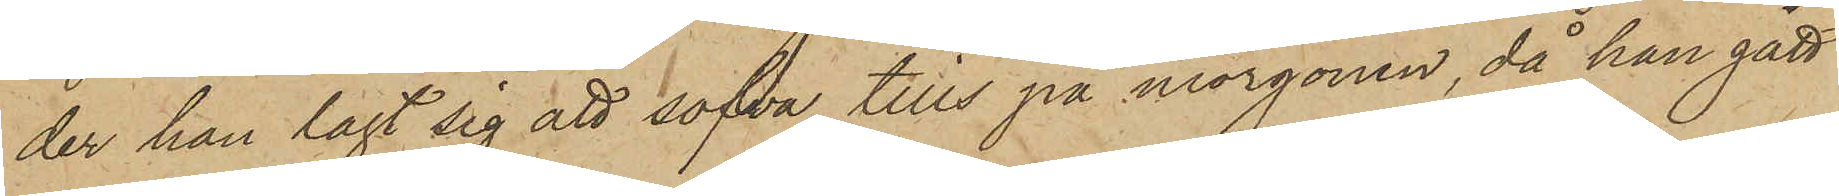der han lagt sig att sofva tills på morgonen, då han gått
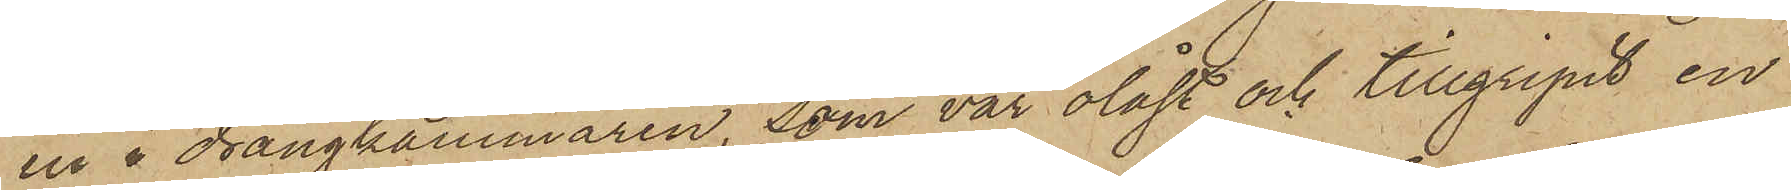in i drängkammaren, som var olåst och tillgripit en
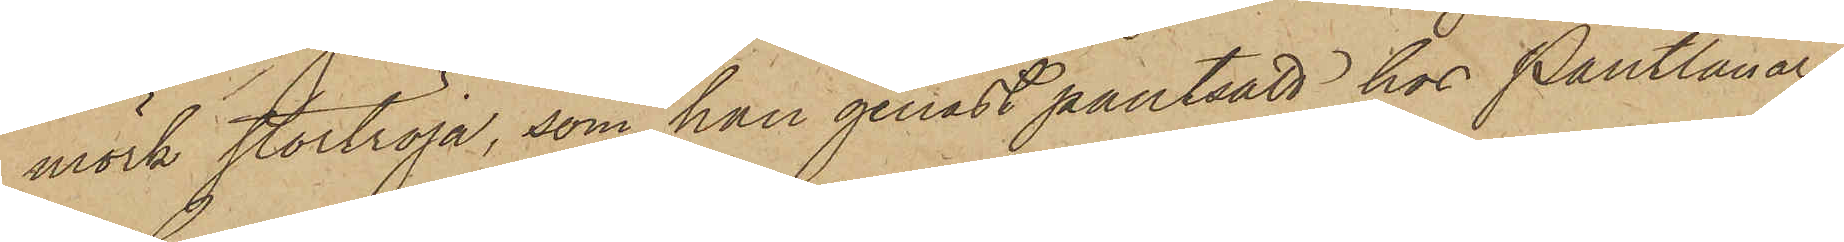mörk stortröja, som han genast pantsatt hos Pantlånaren
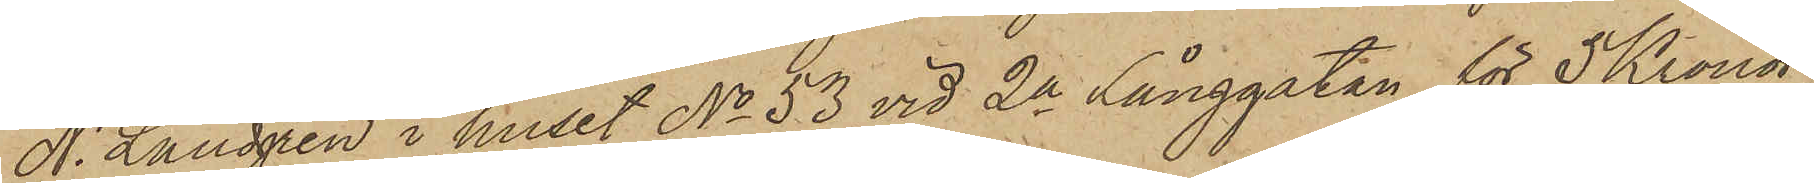N. Landgren i huset No 53 vid 2a Långgatan för 5 Kronor;
